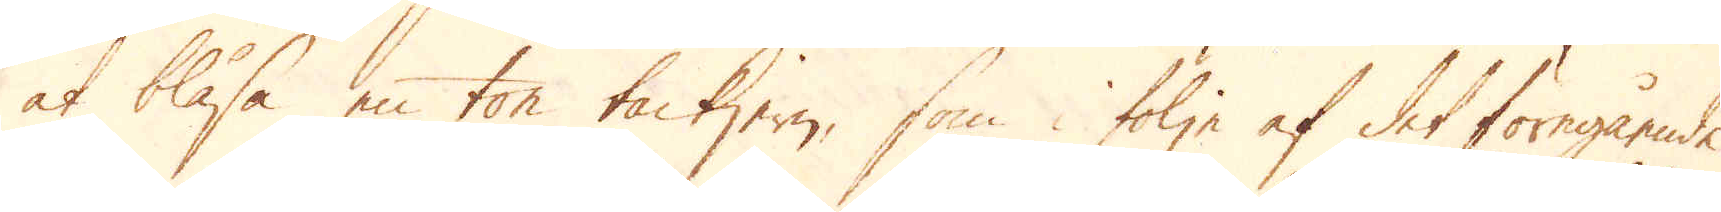at blåsa en ton tackjern, som i följe af det föregående
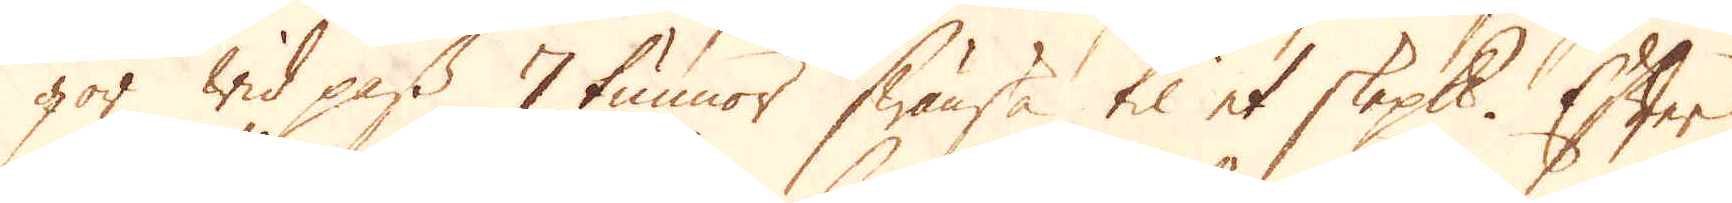gör wid pass 7 tunnor Swänska til et skeppund. Efter
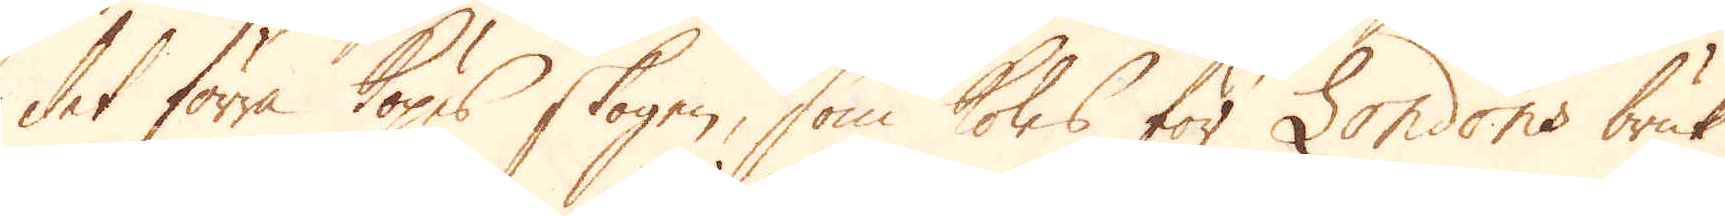det förra köpes skogen, som koles för Londons bruk
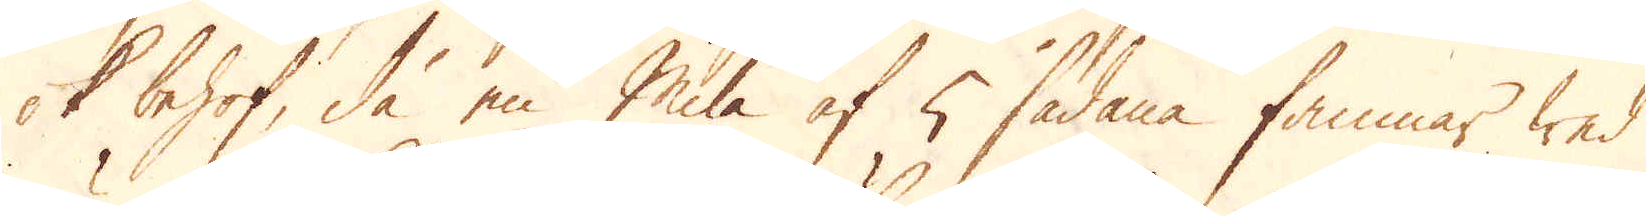ok behof, då en Mila af 5 sådana famnar wed
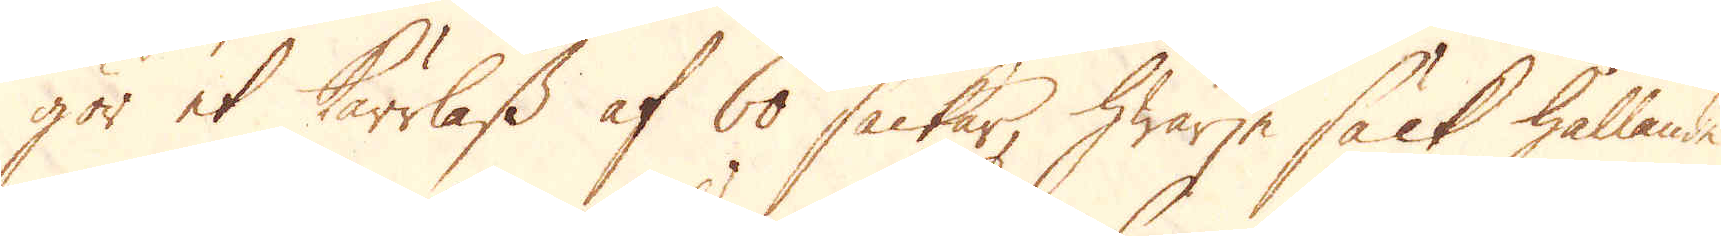gör et kärrlass af 60 säckar, hwarje säck hållande
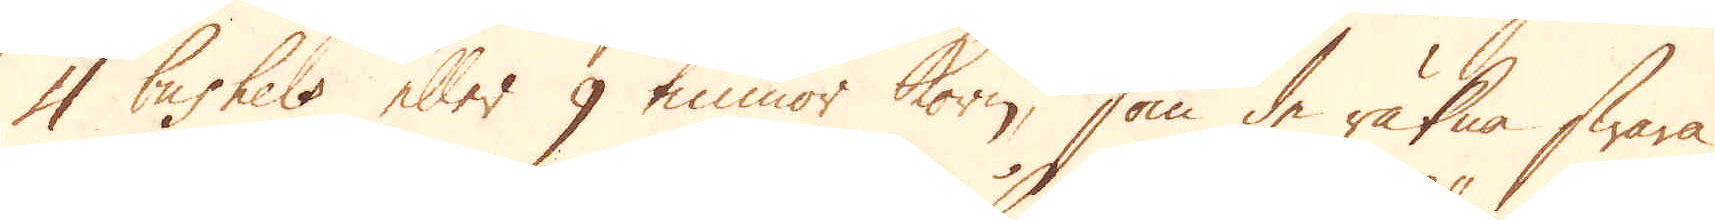4 bushels eller 9 tunnor korn, som de räkna swara
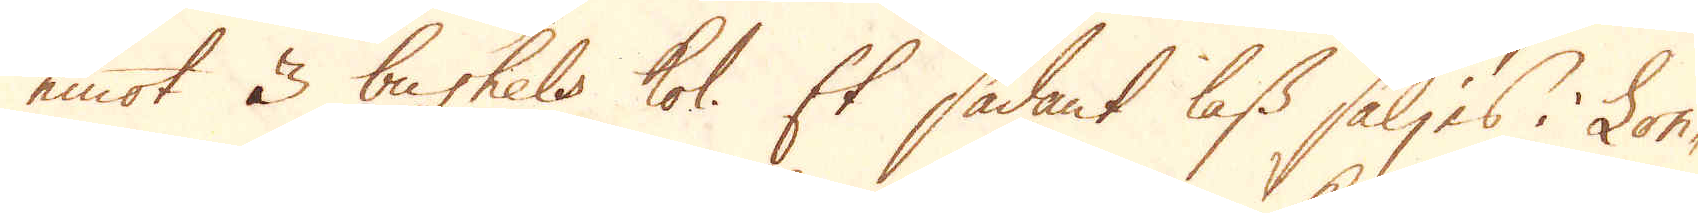emot 3 bushels kol. Et sådant lass säljes i Lon-
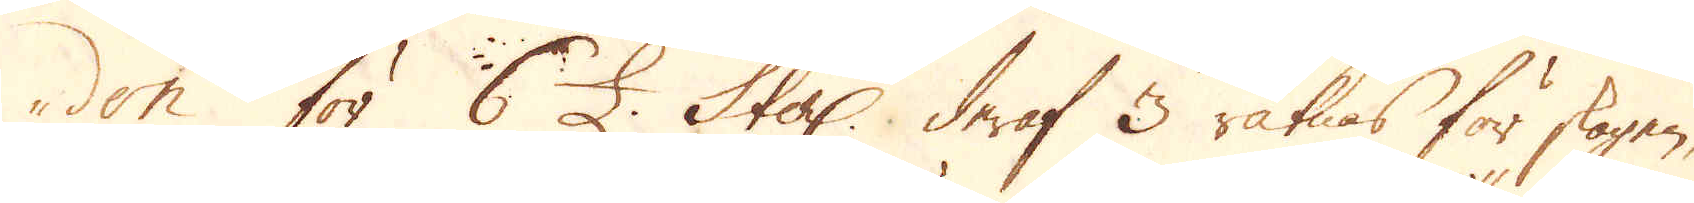don för 6 £. Sterl: deraf 3 räknas för skogen,
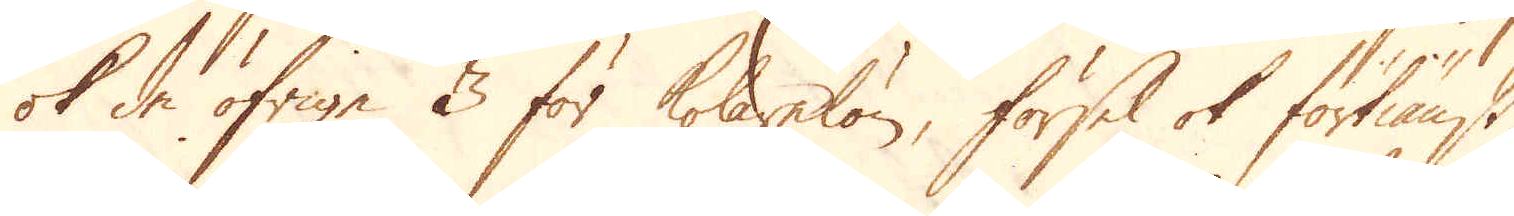ok de öfriga 3 för kolarelön, försel ok förtiänst
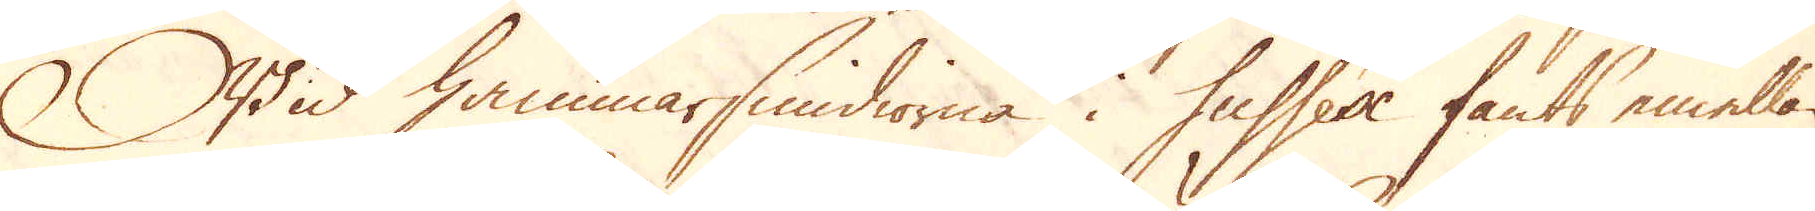Wid hammarsmidiorna i Sussex fants emellan
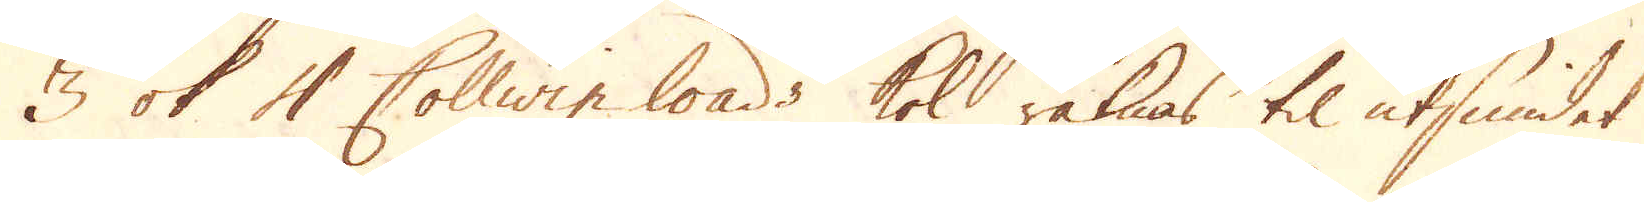3 ok 4 Collwin loads kol räknas til utsmidet
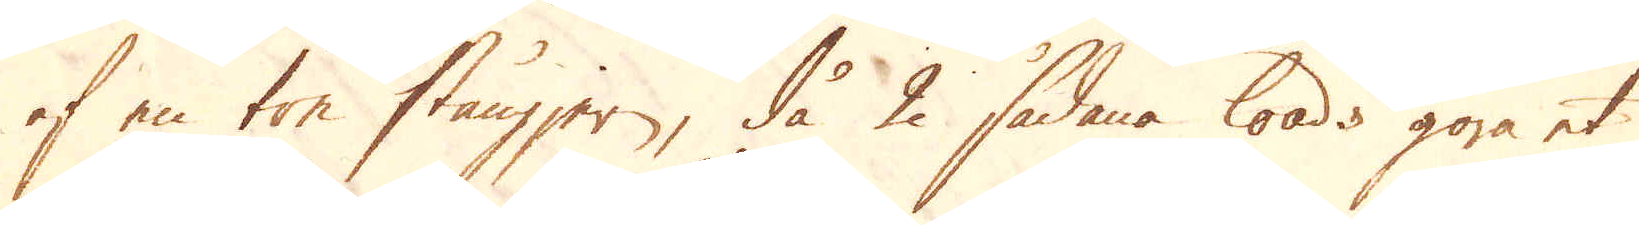af en ton stångjern, då 2 sådana loads göra et
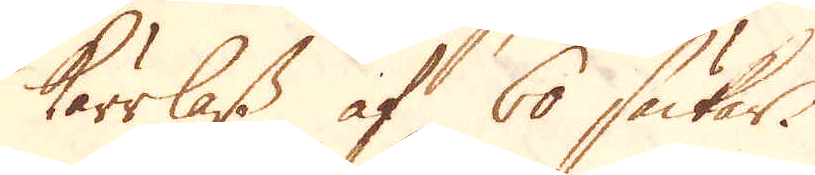kärrlass af 60 säckar.
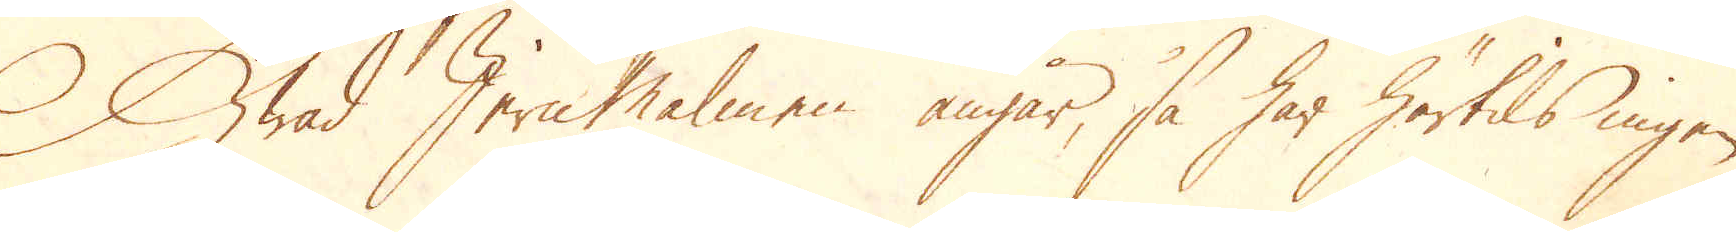Hwad Jern Malmen angår, så har härtils ingen
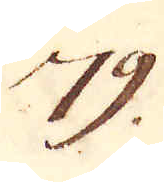79.
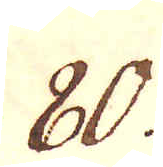80.
